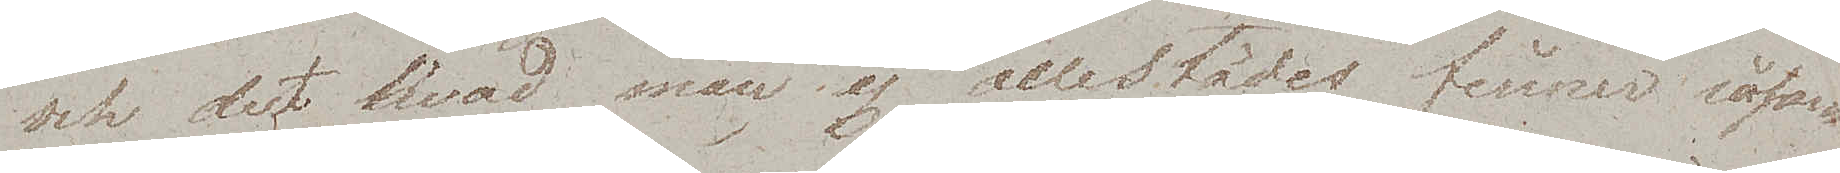och det hvad man ej allestädes finner såsom
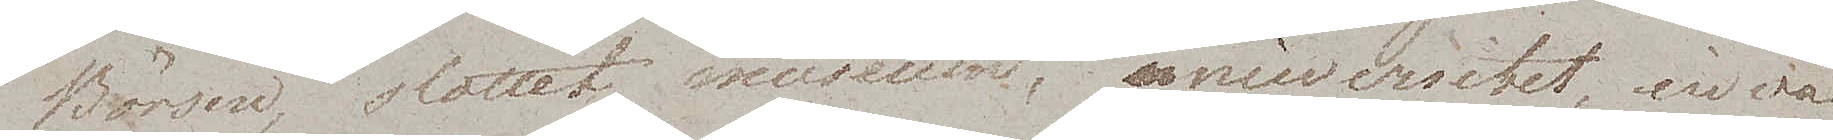Börsen, slottet, museum, universitet, inva¬
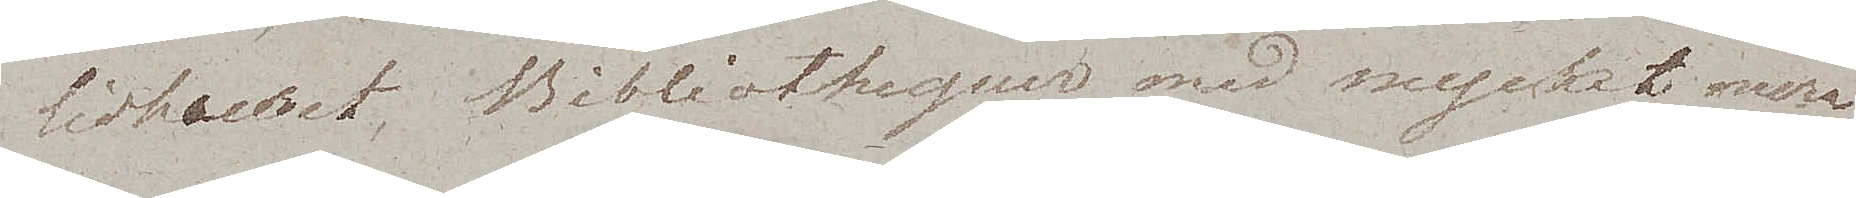lidhuset, Bibliothequer, med mycket mera
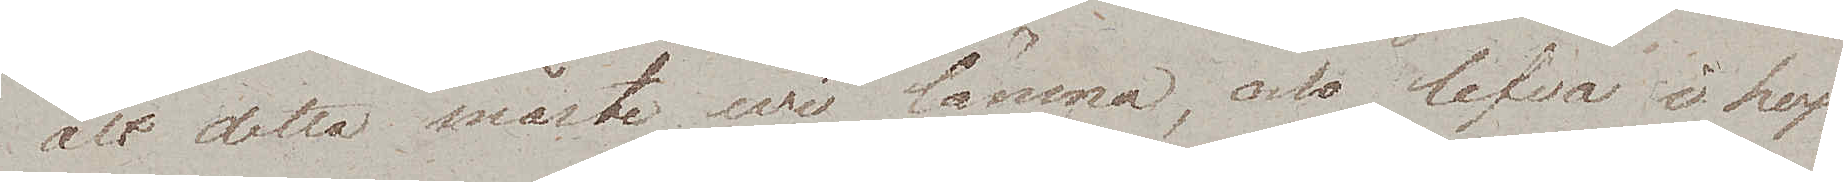alt detta måste wi lämna, och lefva i hop¬
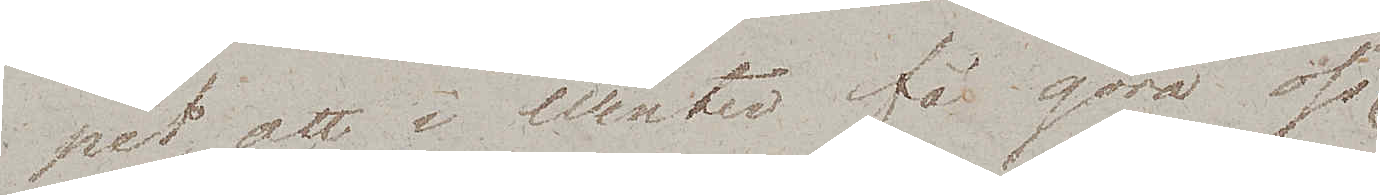pet, att i Winter få göra oss
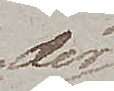der¬
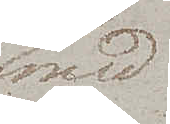med
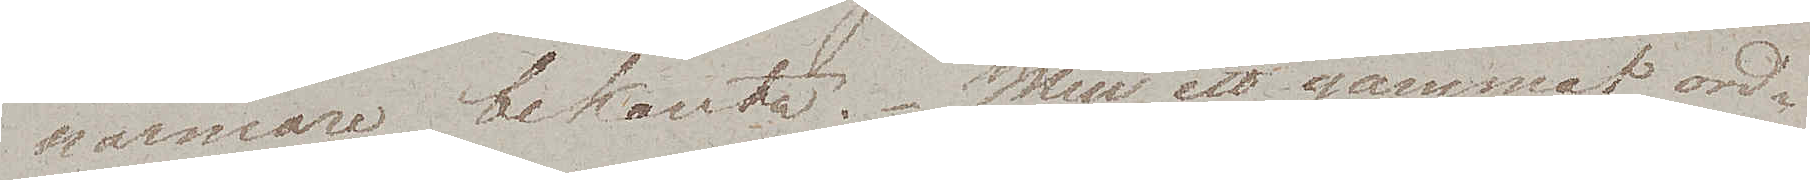närmare bekanta. Men ett gammat ord¬
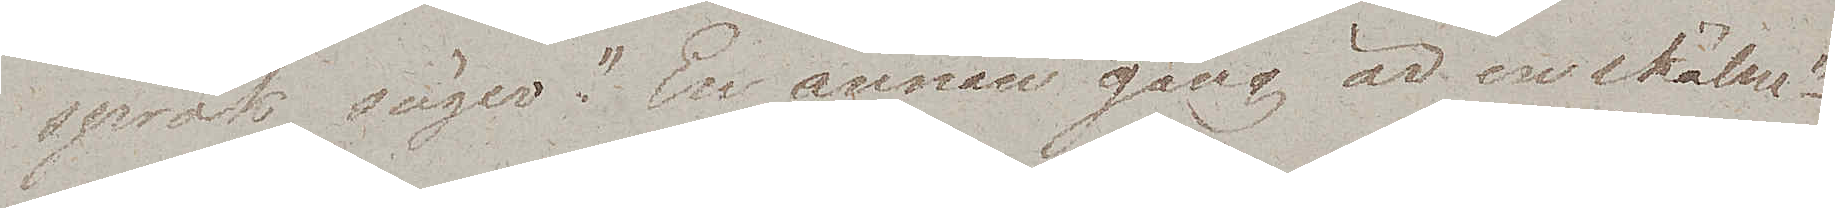språk säger "En annan gång är en skälm"
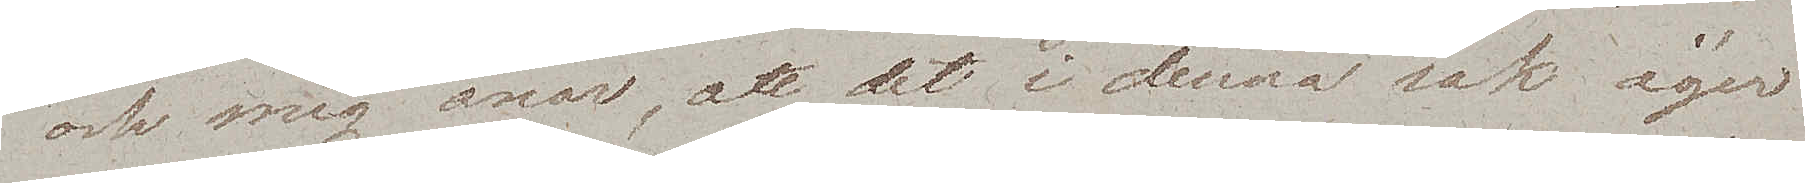och mig anar, att det i denna sak äger
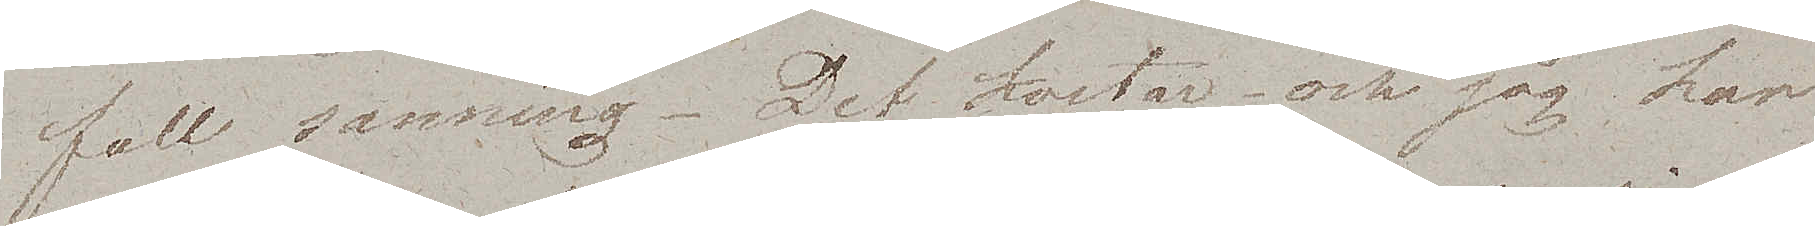full sanning. Det kostar – och jag har
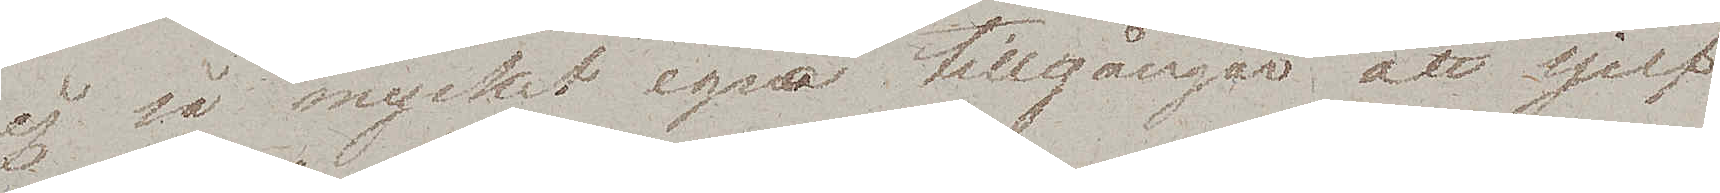ej så mycket egna tillgångar att sjelf
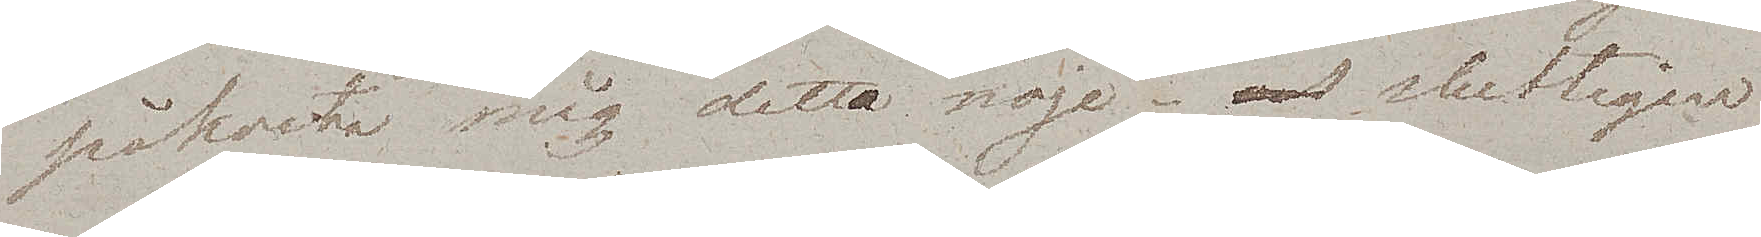påkosta mig detta nöje – slutligen
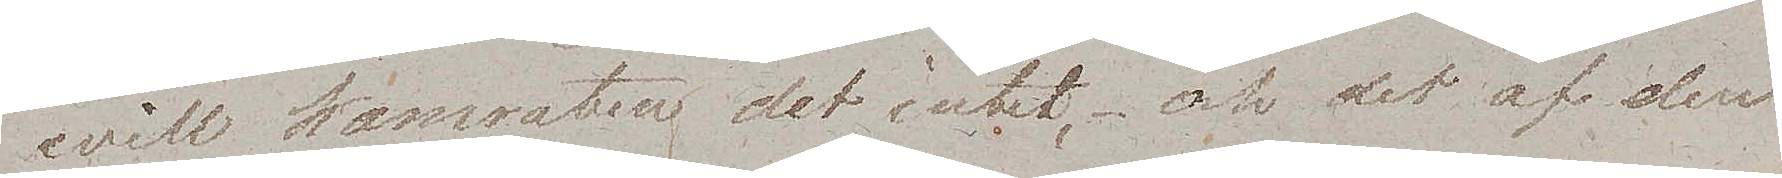will kamraten det intet, – och det af den
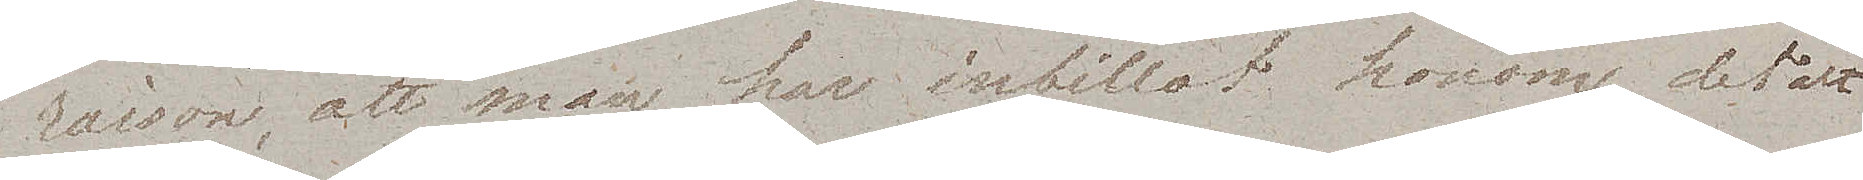raison, att man har inbillat honom det att
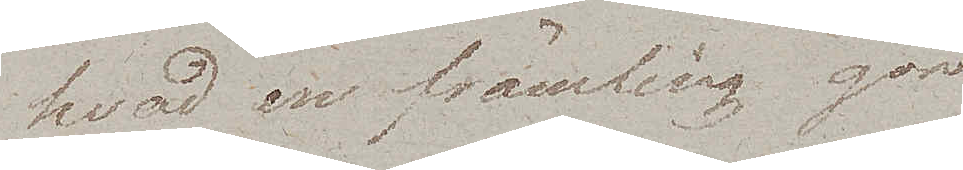hvad en främling gör
